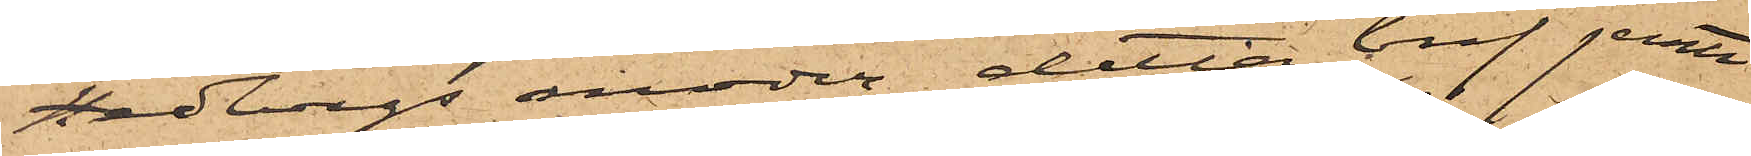Hedbergs moder, detta bref jemte
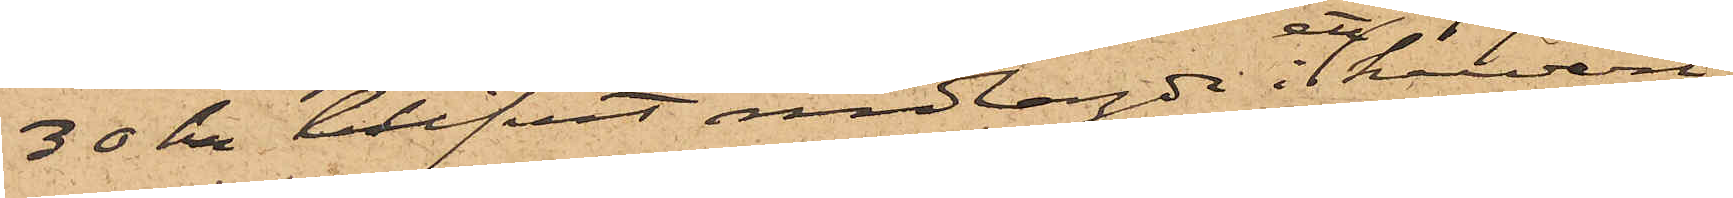30 kr blifvit nedlagde i ett kuvert,
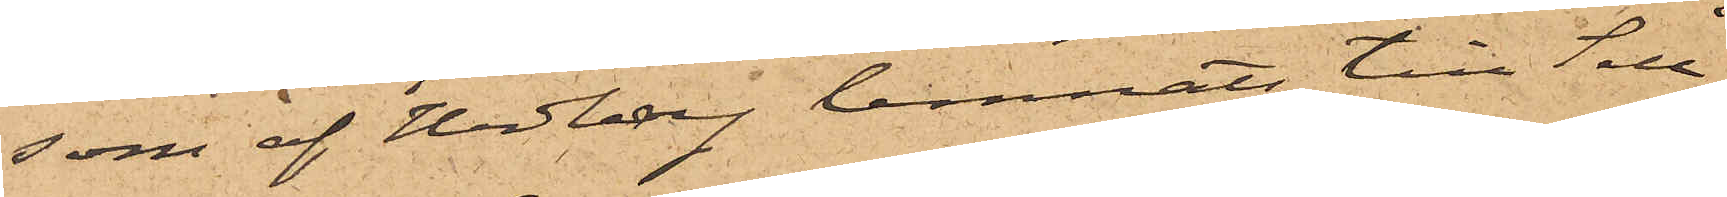som af Hedberg lemnats till Sell¬
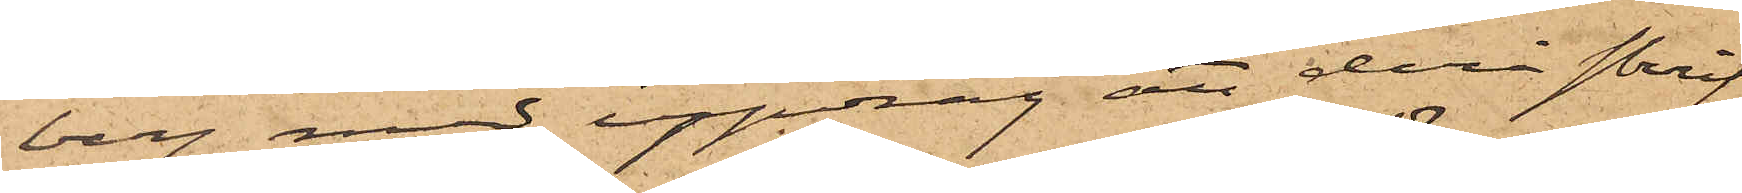berg med uppdrag att derå skrif¬
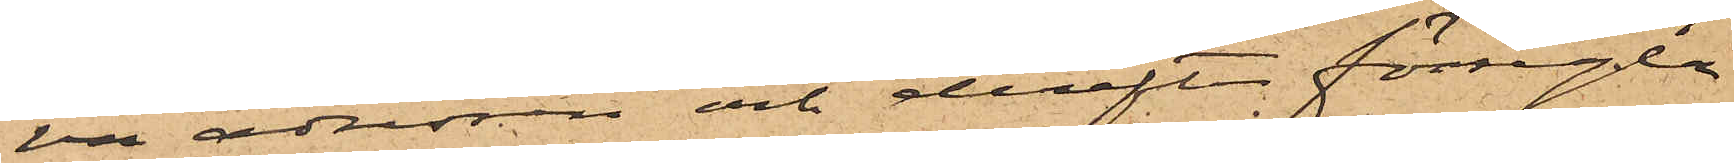va adressen och derefter försegla
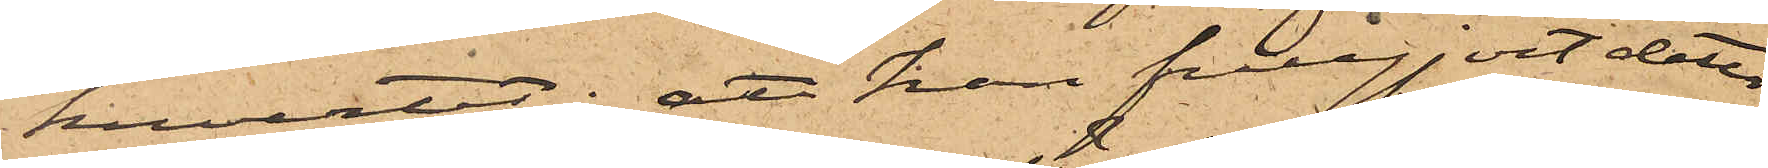kuvertet; att han fullgjort detta
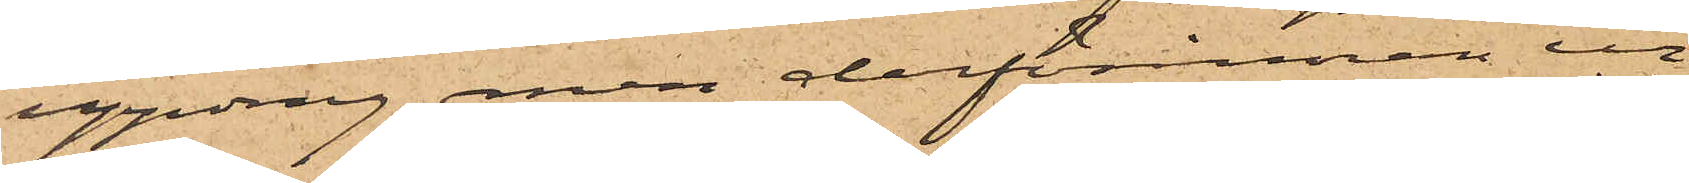uppdrag, men derförinnan ur
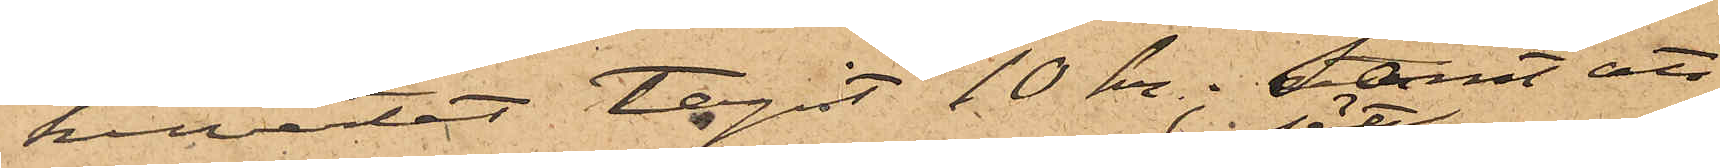kuvertet tagit 10 kr; samt att
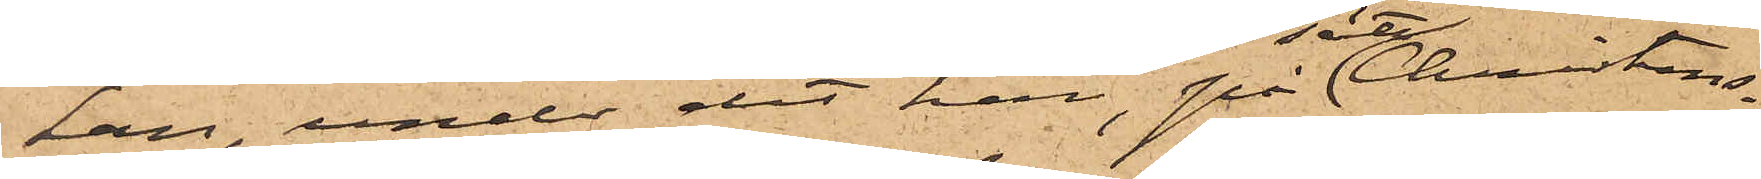han, under det han, på sätt Christens¬
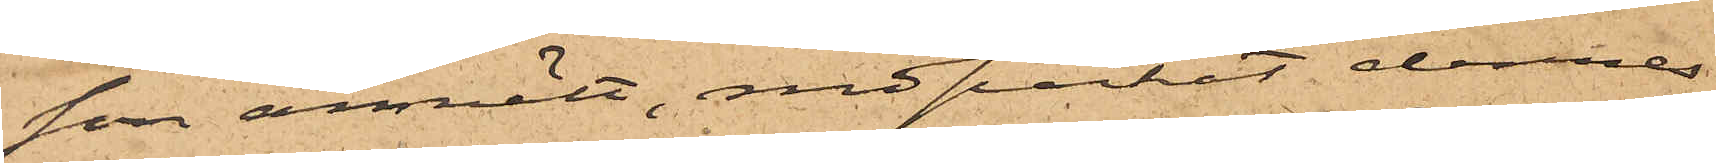son anmält, nedpackat dennes
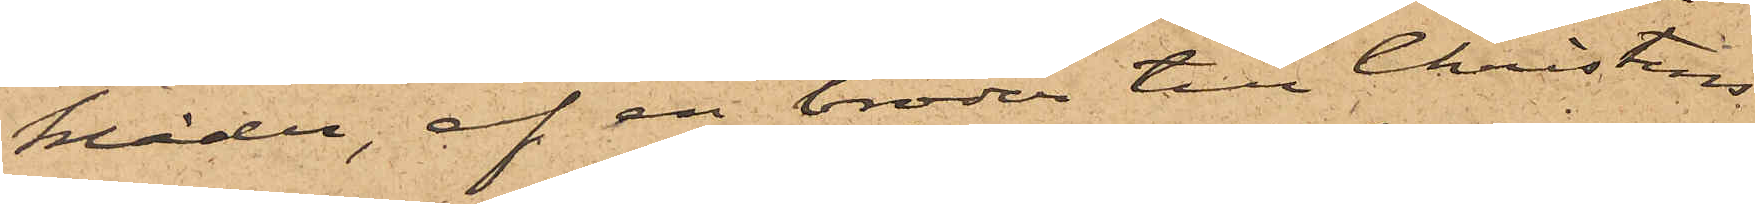kläder, af en broder till Christens¬
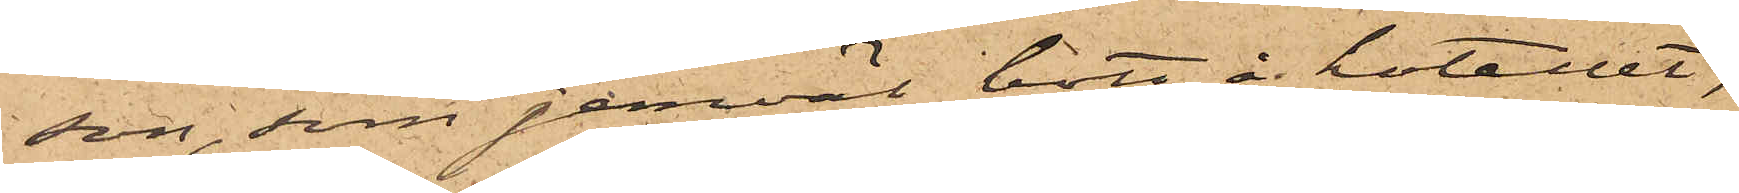son, som jemväl bott å hotellet,
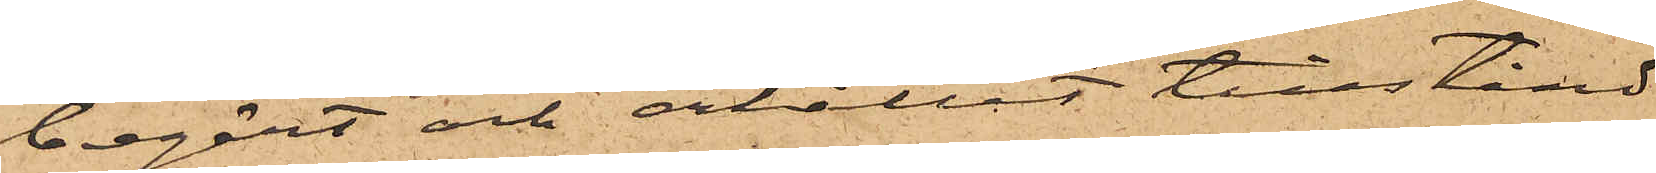begärt och erhållit tillstånd
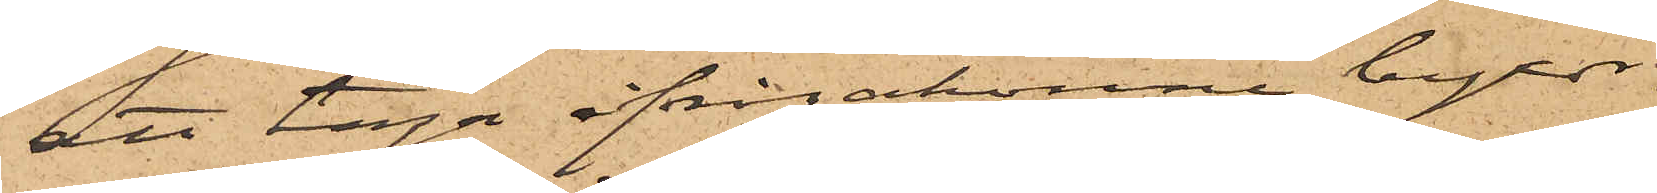att taga ifrågakomne byxor.
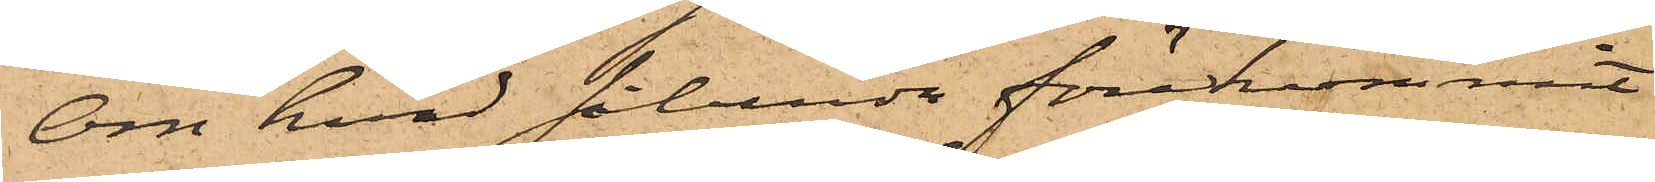Om hvad sålunda förekommit
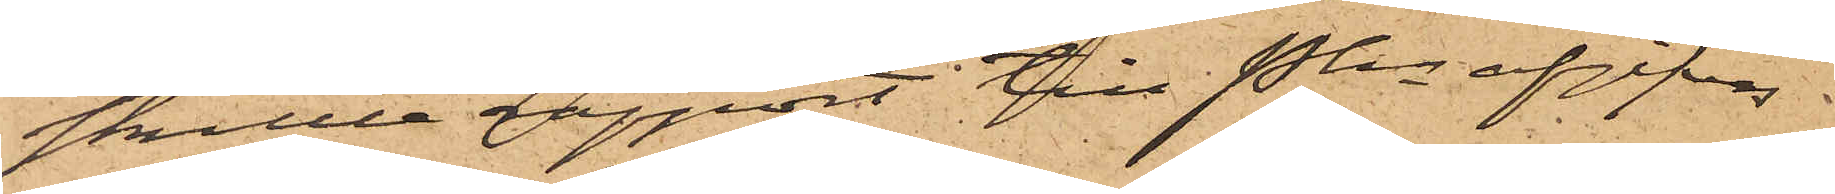skulle rapport till Pkn afgifvas.
